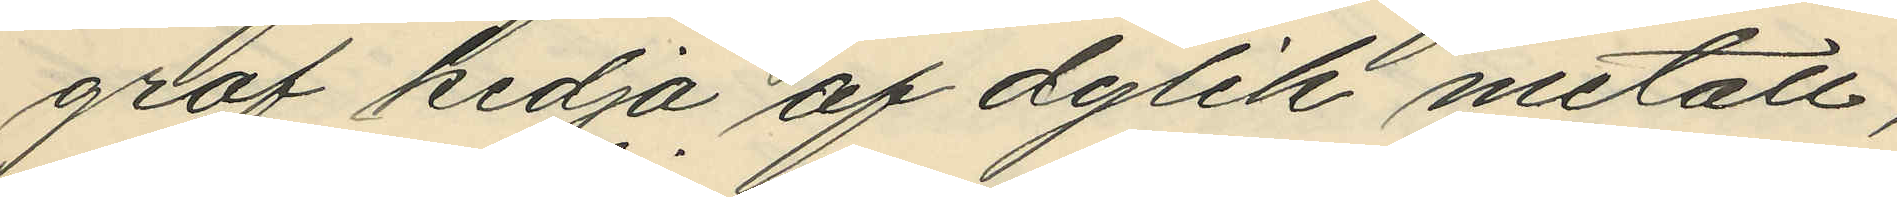grof kedja af dylik metall,
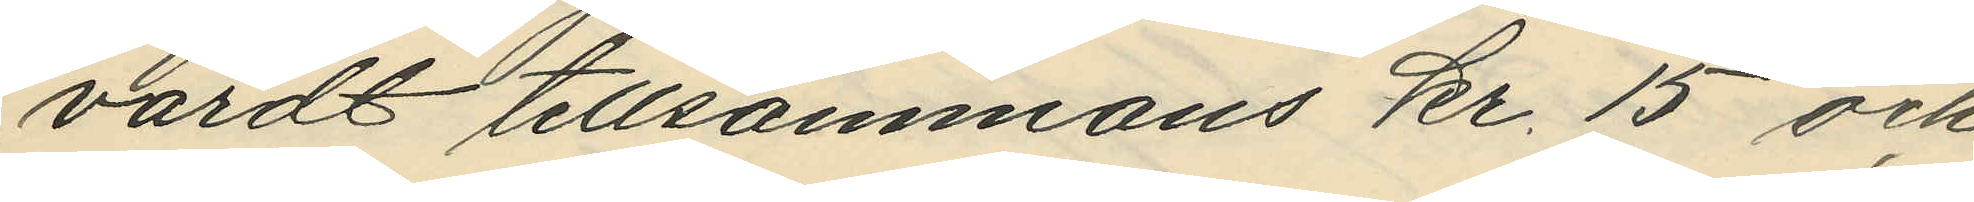värdt tillsammans kr. 15 och
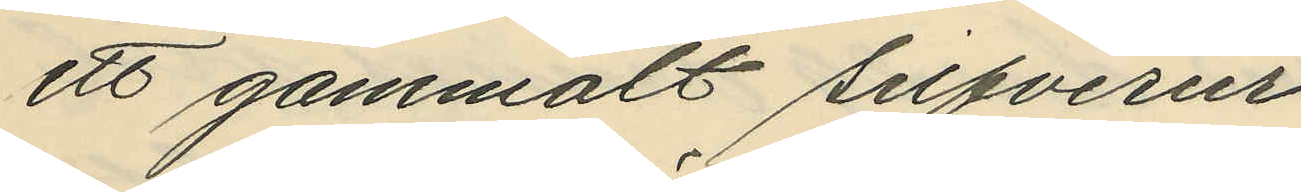ett gammalt silfverur
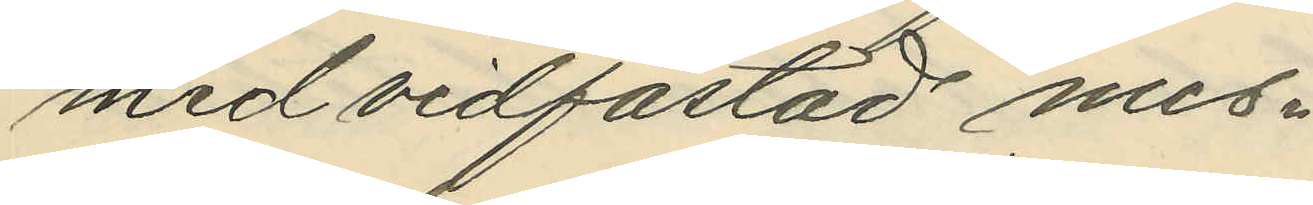med vidfästad mes¬
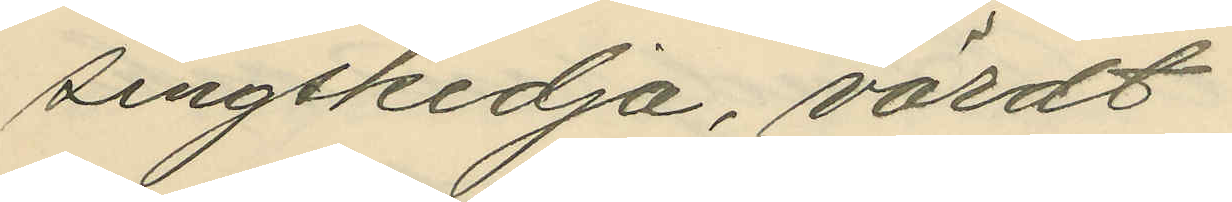singskedja, värdt
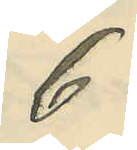6
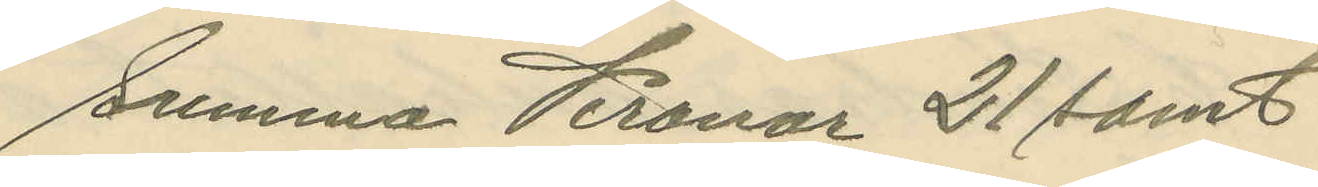Summa Kronor 21 samt
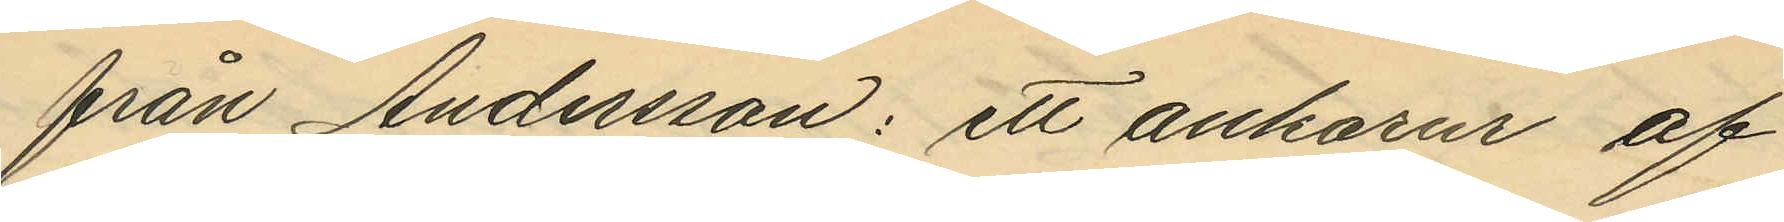från Andersson: ett ankarur af
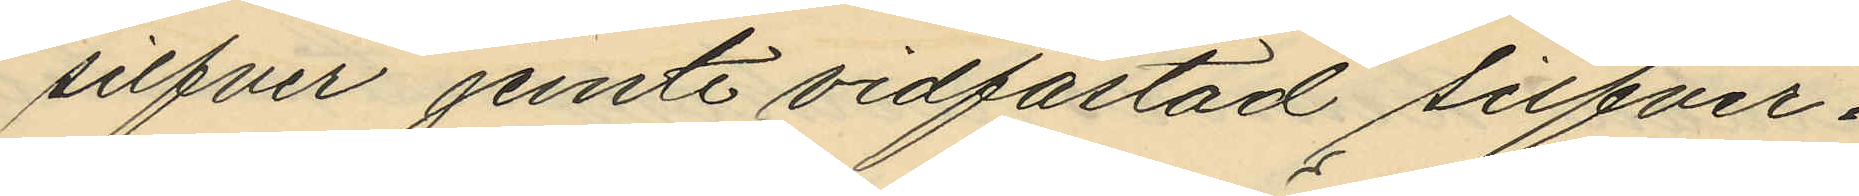silfver jemte vidfästad silfver¬
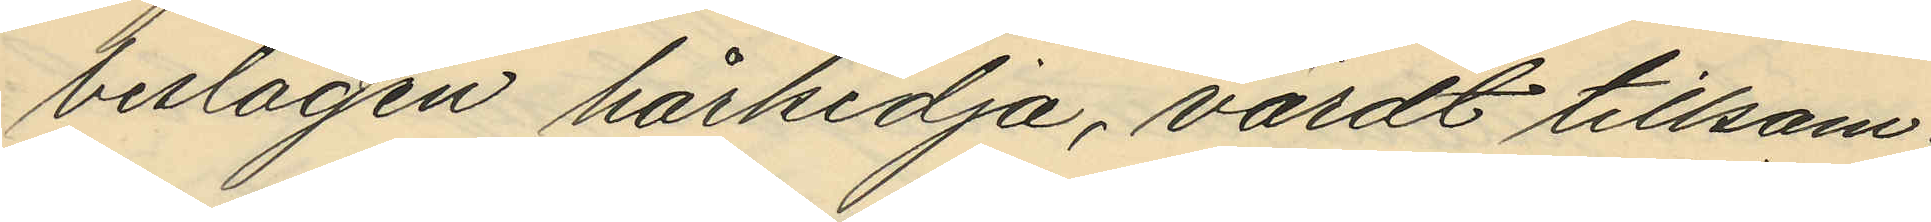beslagen hårkedja, värdt tillsam¬
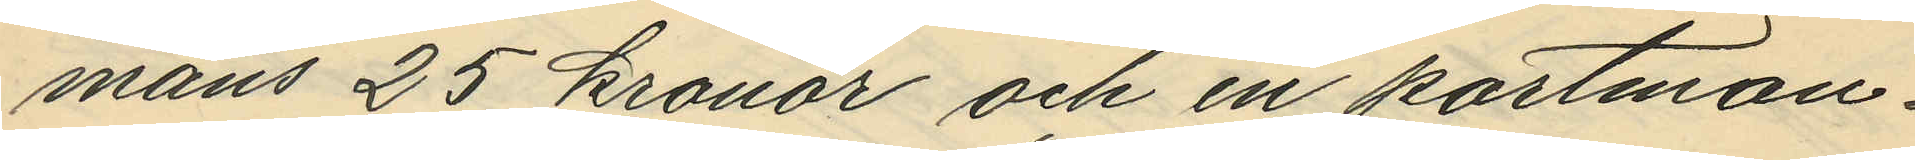mans 25 kronor och en portmon¬
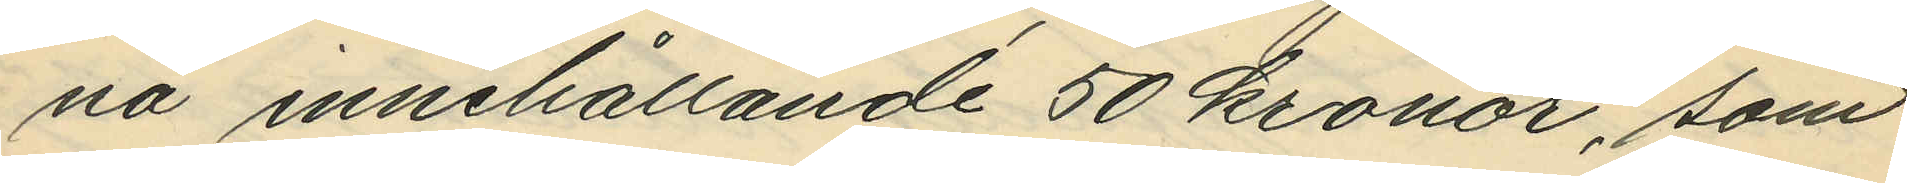nä innehållande 50 kronor, som
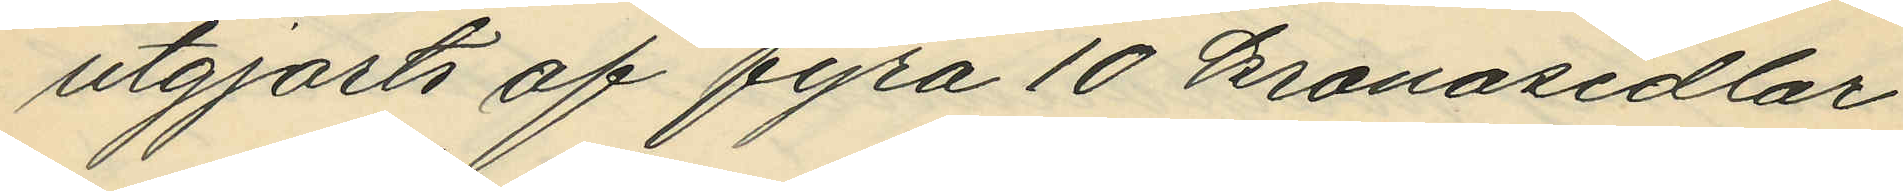utgjorts af fyra 10 kronosedlar
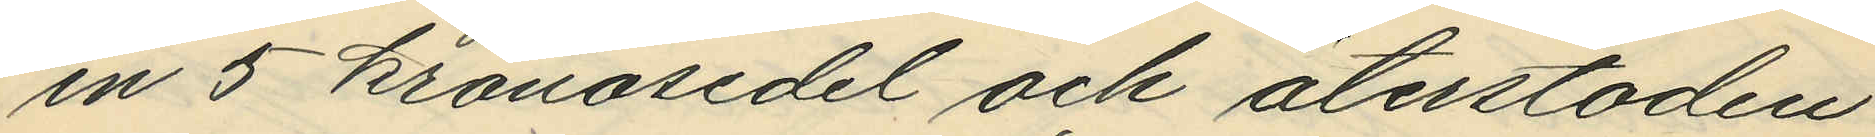en 5 kronosedel och återstoden
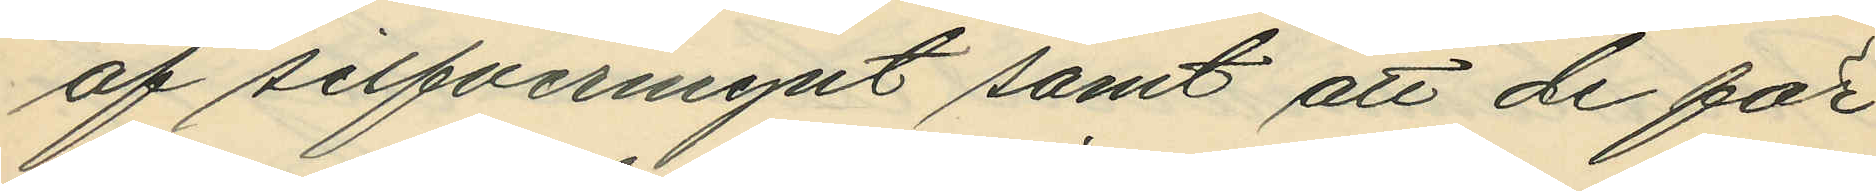af silfvermynt samt att de för
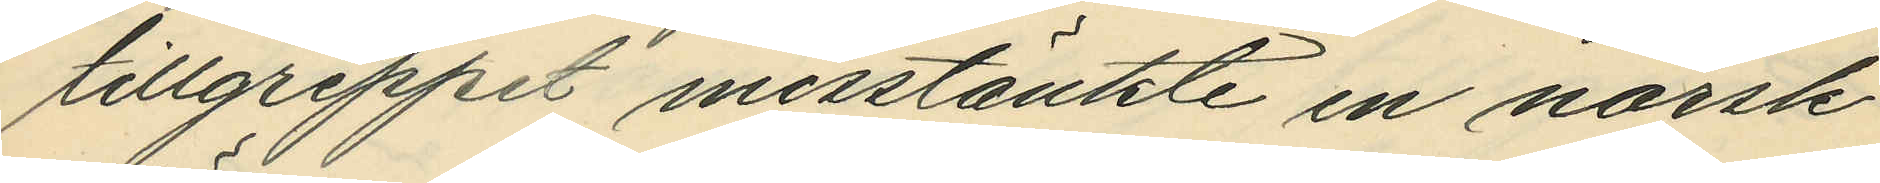tillgreppet misstänkte en norsk
